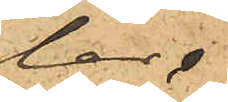lar.
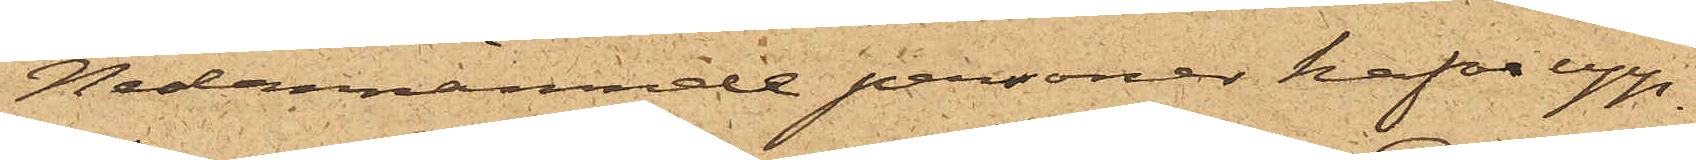Nedannämnde personer hafva upp¬
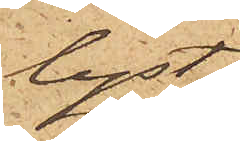lyst:
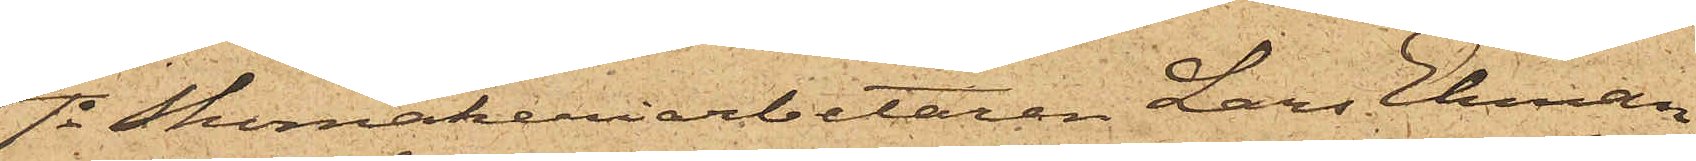1o Skomakeriarbetaren Lars Ekman
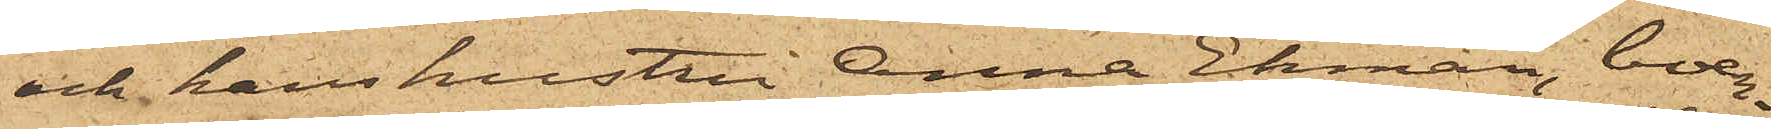och hans hustru Anna Ekman, boen¬
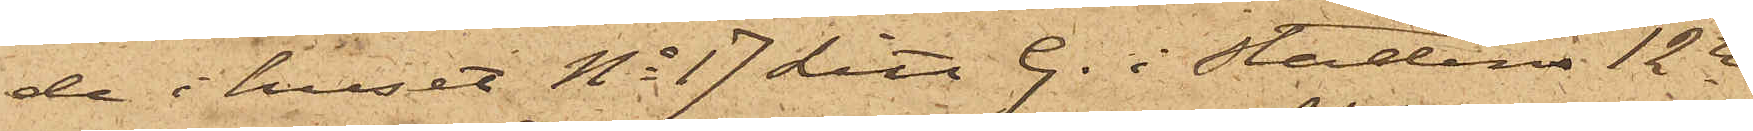de i huset No 17 Litt. G. i Stadens 12te
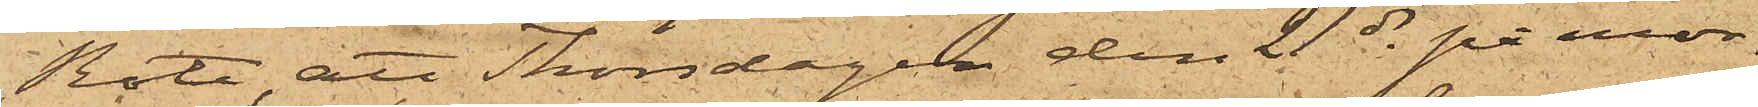Rote, att Thorsdagen den 21 ds på mor¬
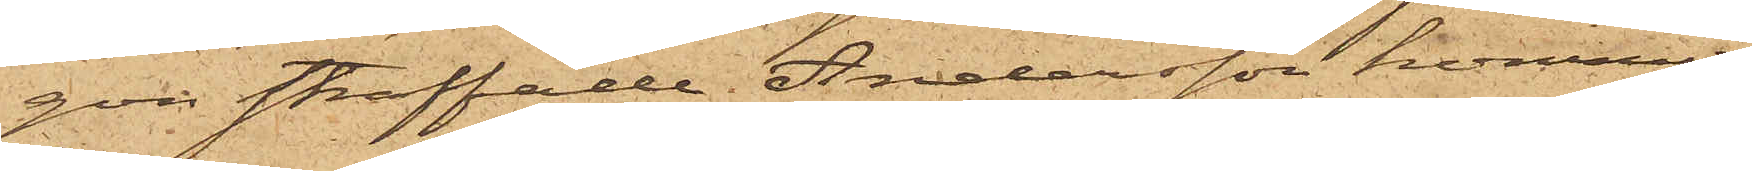gon straffade Andersson kommit
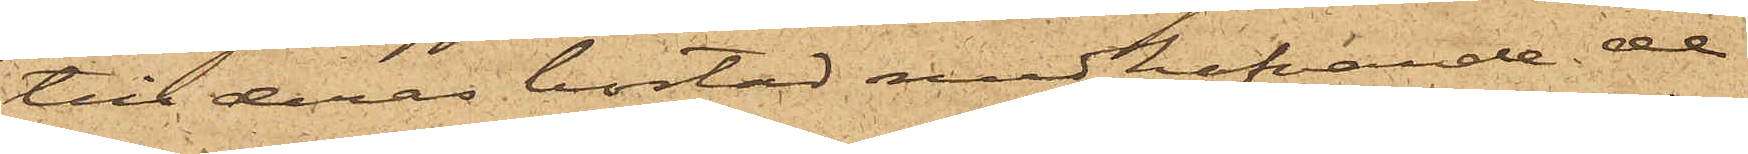till deras bostad medhafvande de
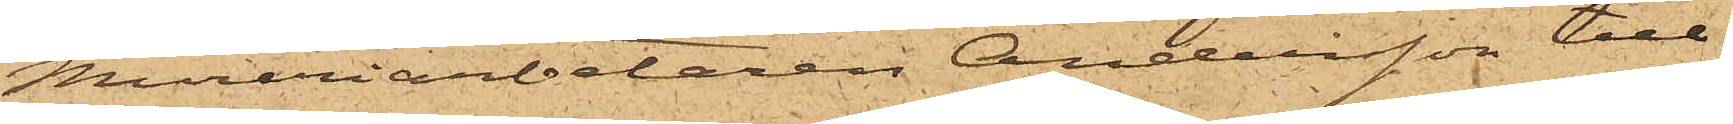Mureriarbetaren Andersson till¬
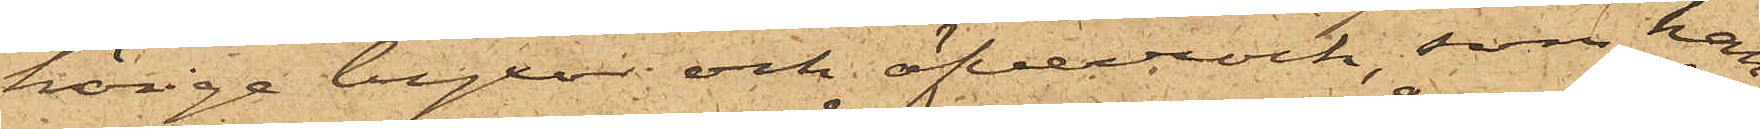hörige byxor och öfverrock, som han
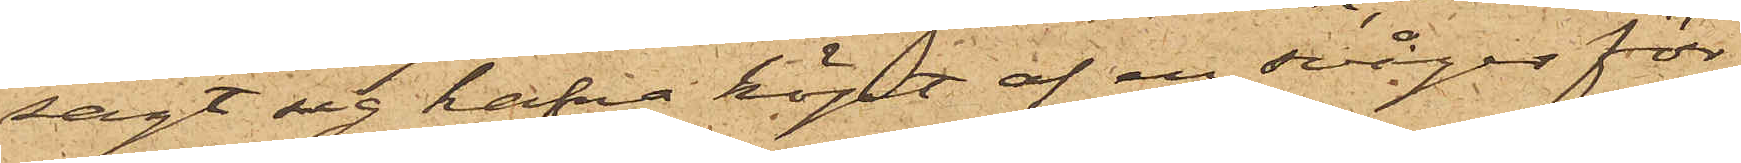sagt sig hafva köpt af en svåger för
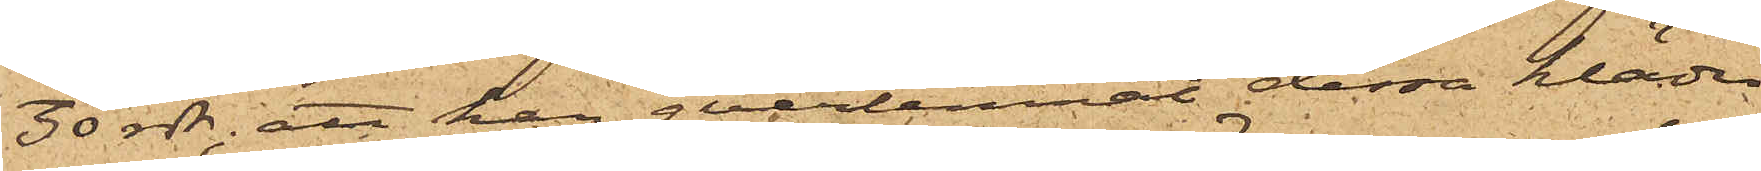30 rdr; att han qvarlemnat dessa kläder
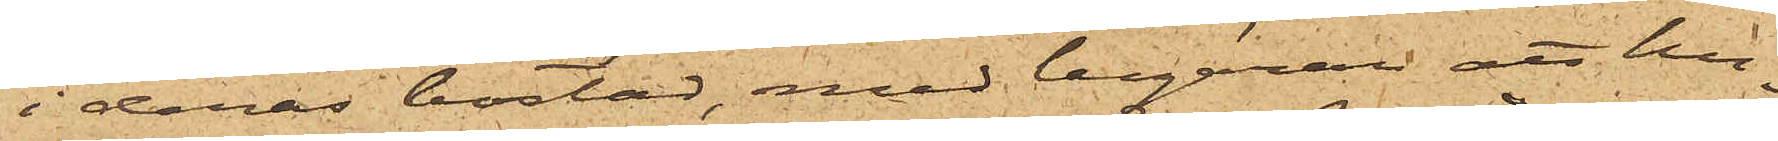i deras bostad, med begäran att hu¬
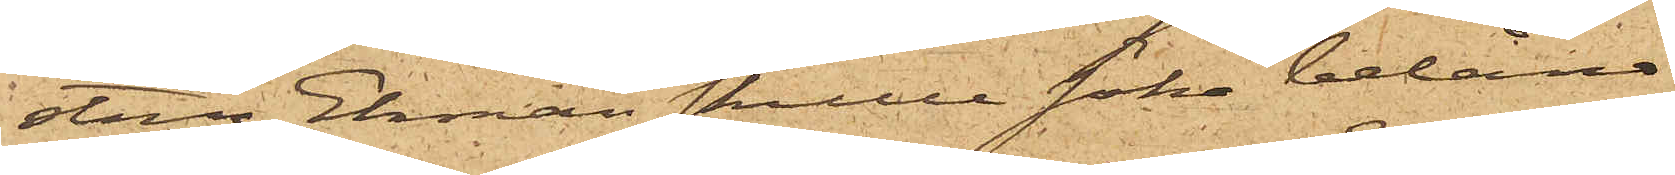stru Ekman skulle söka belåna
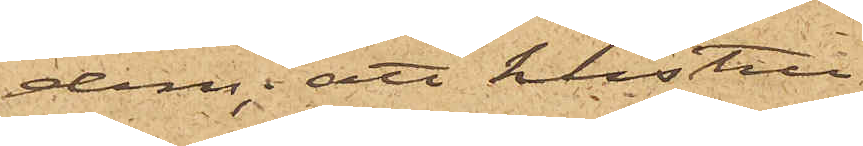dem; att hustru
